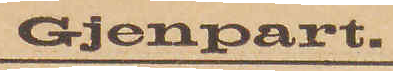Gjenpart.
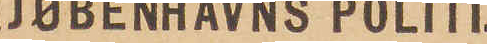KJØBENHAVNS POLITI.
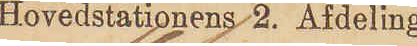Hovedstationens 2. Afdeling.
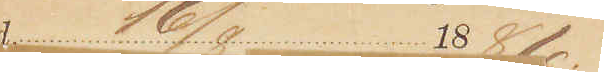16/8 1886
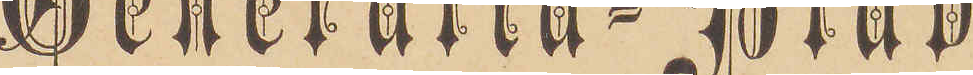Generalia-Blad
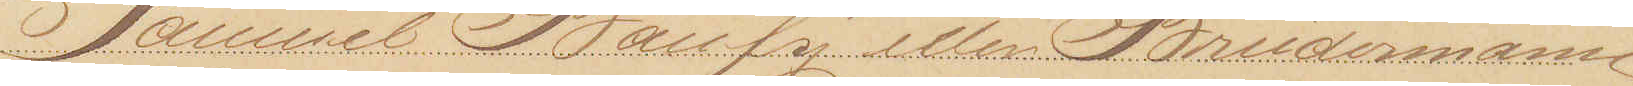Samuel Bausÿ eller Brüdermann
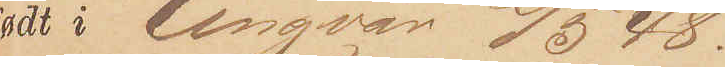født i Ungarn 2/5 48
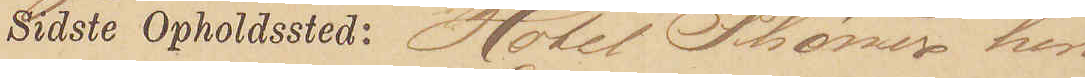Sidste Opholdssted: Hotel Phønix heri
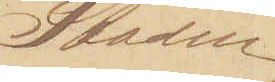Staden
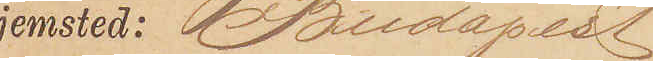Hjemsted: Budapest
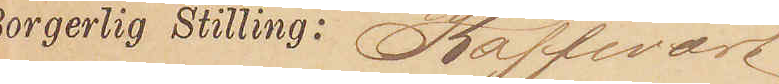Borgerlig Stilling: Kaffevært
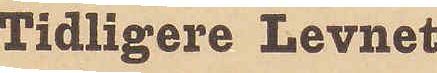Tidligere Levnet
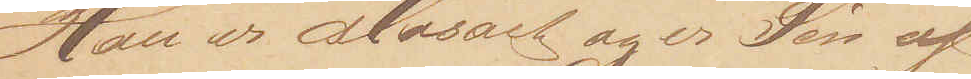Han er Mosait og er Søn af
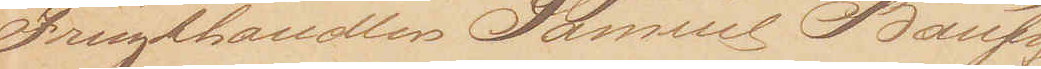Frugthandler Samuel Bausÿ
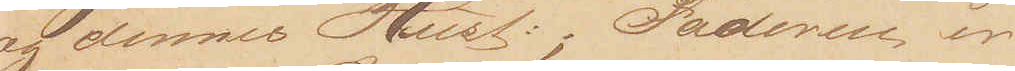og dennes Hust:; Faderen er
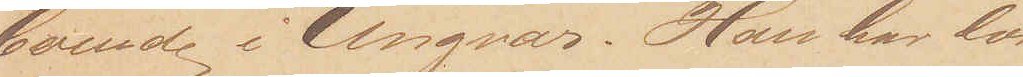boende i Ungvar. Han har lært
